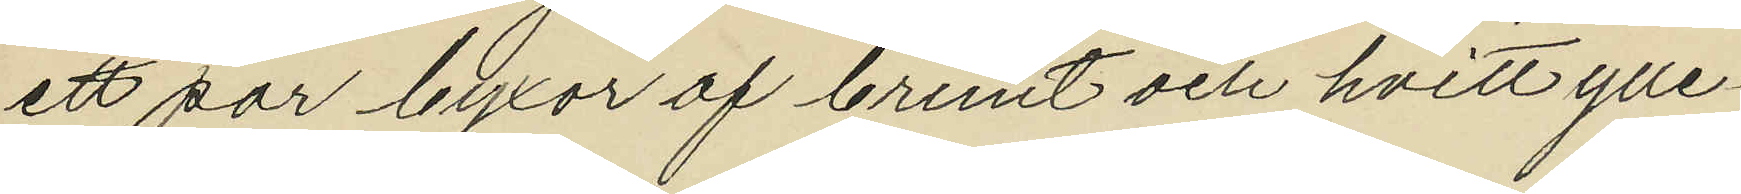ett par byxor af brunt och hvitt ylle¬
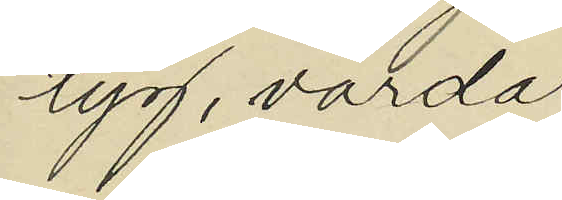tyg, värda
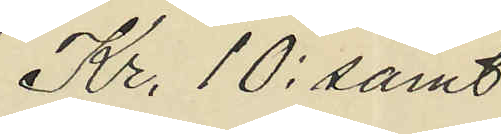Kr. 10: samt
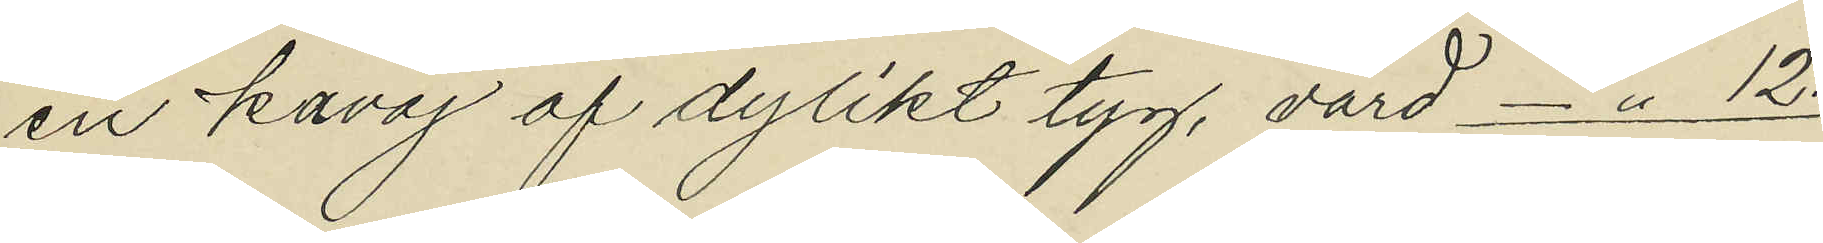en kavaj af dylikt tyg, värd -"- 12:
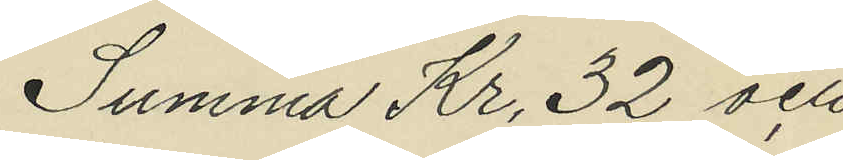Summa Kr. 32 och
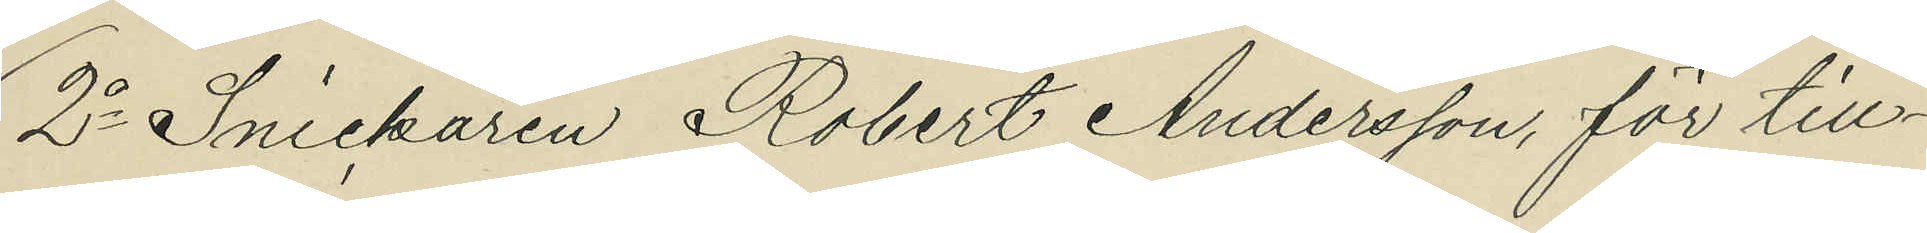2o Snickaren Robert Andersson, för till¬
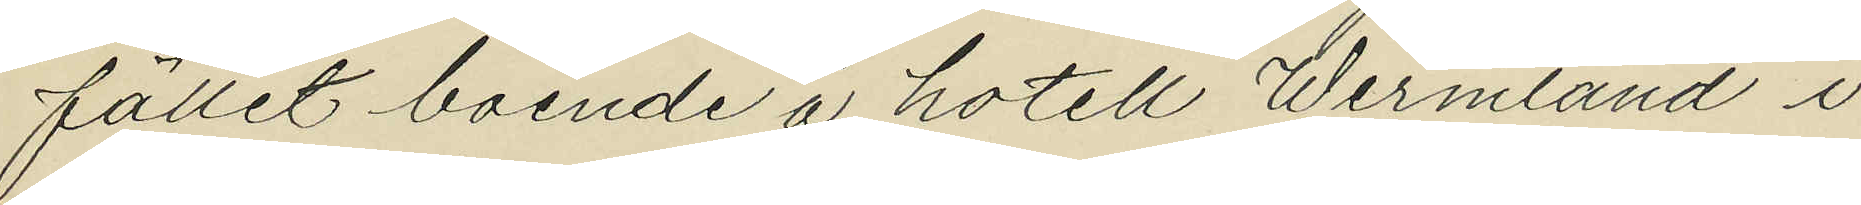fället boende å hotell Wermland i
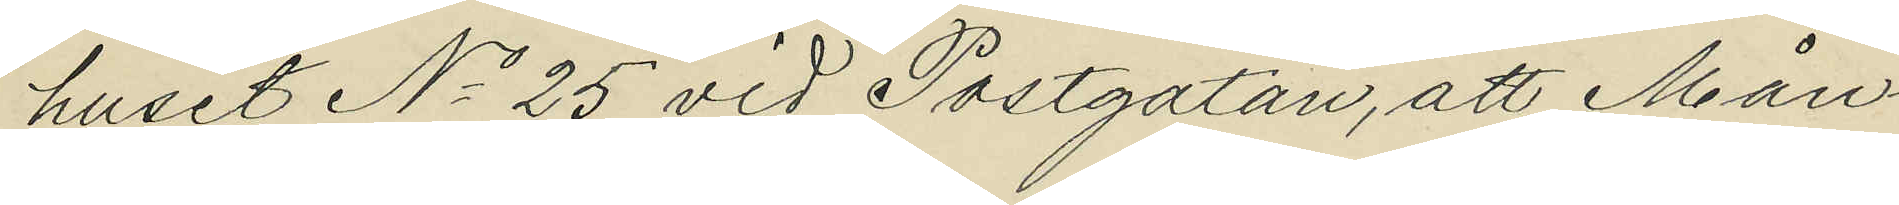huset No 25 vid Postgatan, att Mån¬
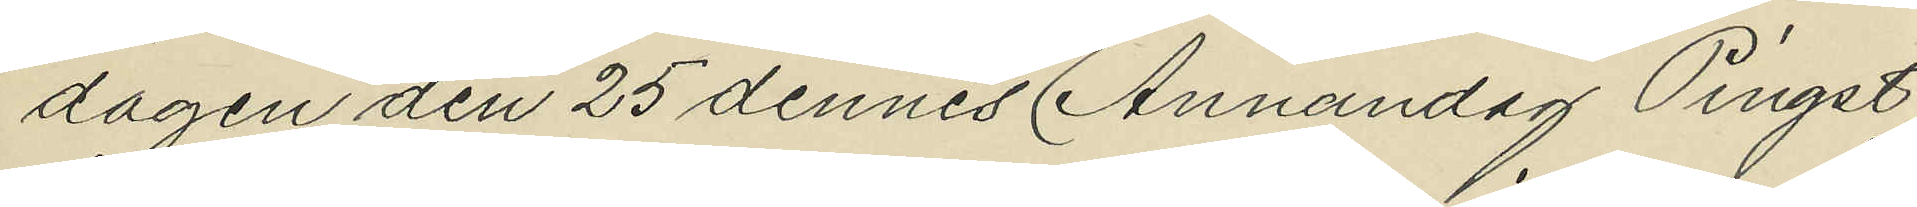dagen den 25 dennes (Annandag Pingst)
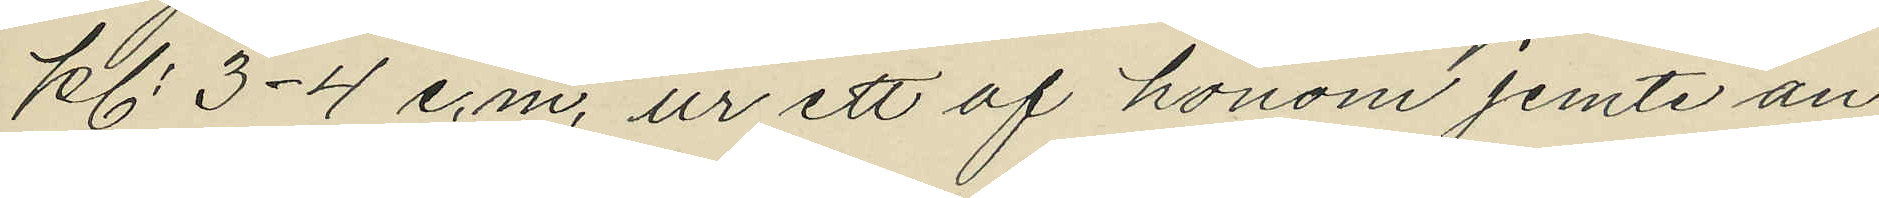kl. 3-4 e.m. ur ett af honom jemte an¬
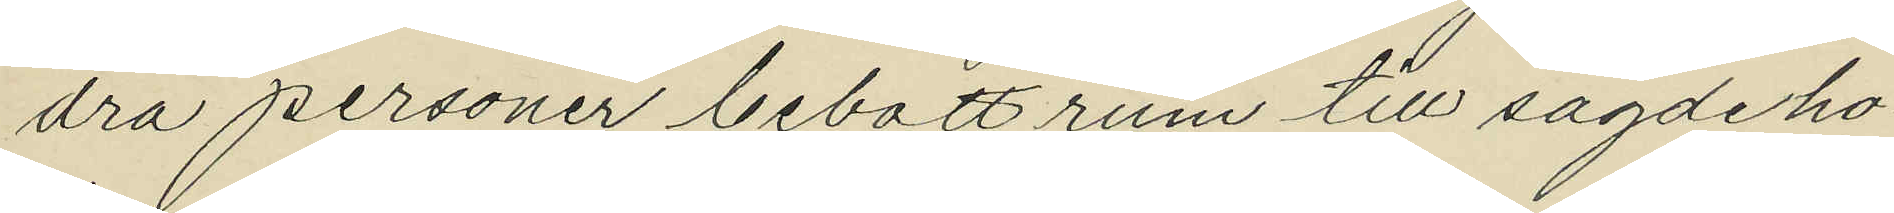dra personer bebott rum till sagde ho¬
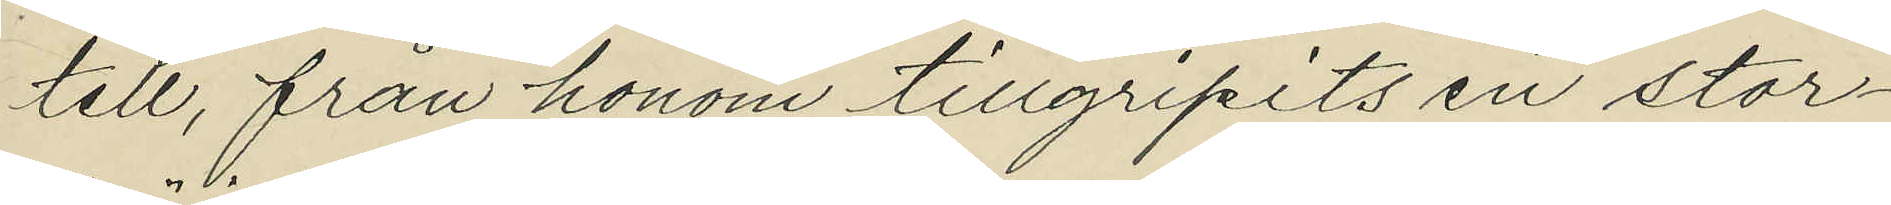tell, från honom tillgripits en stor¬
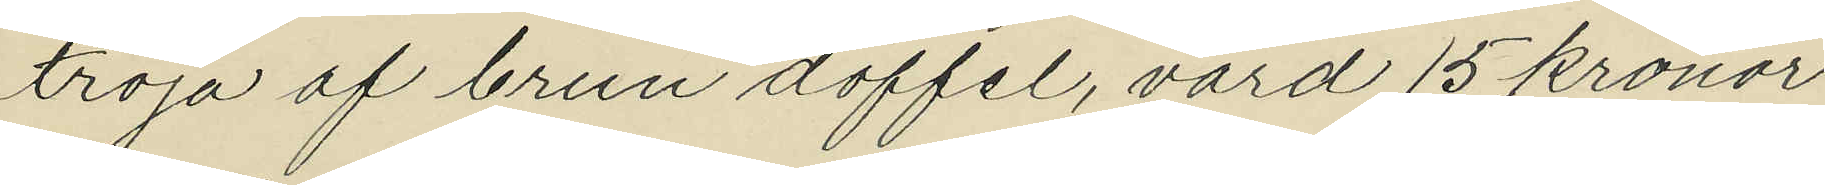tröja af brun doffel, värd 15 kronor
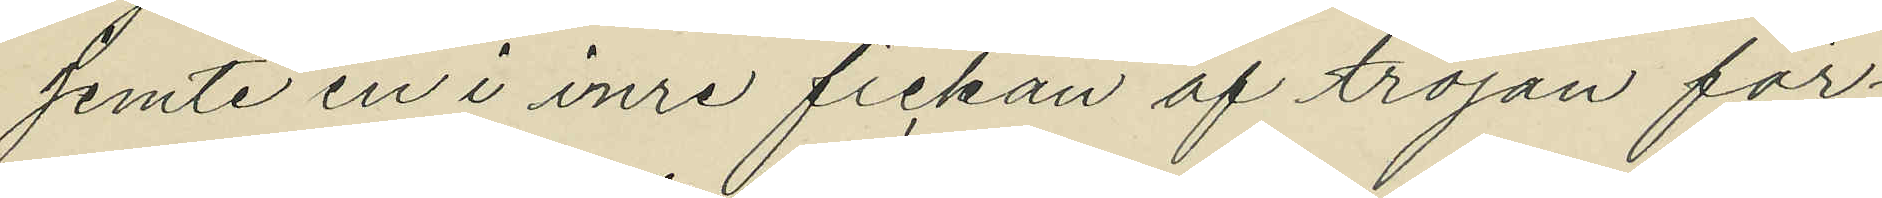jemte en i inre fickan af tröjan för¬
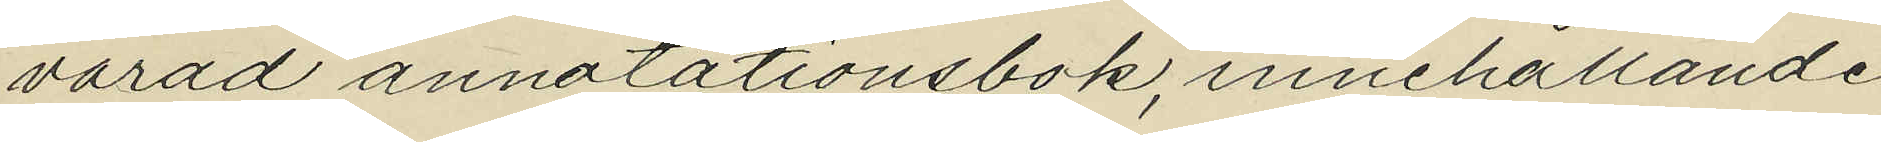varad annotationsbok, innehållande
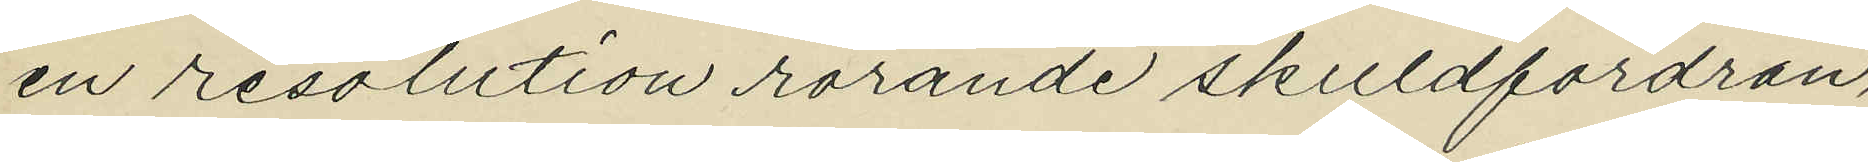en resolution rörande skuldfordran,
